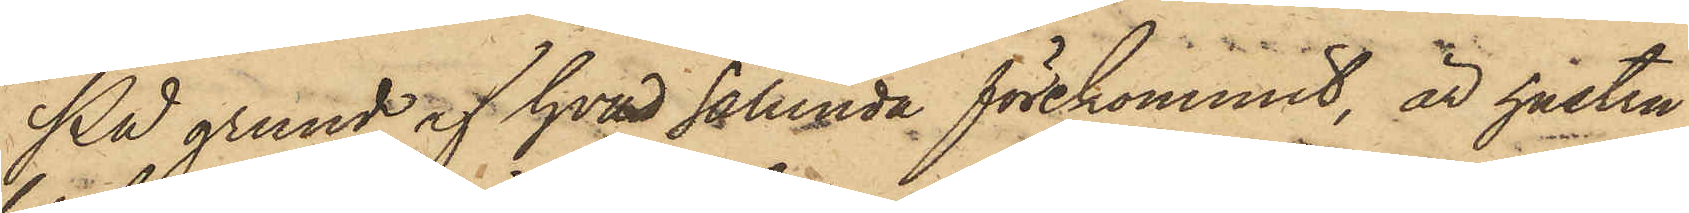På grund af hvad sålunda förekommit, är hustru
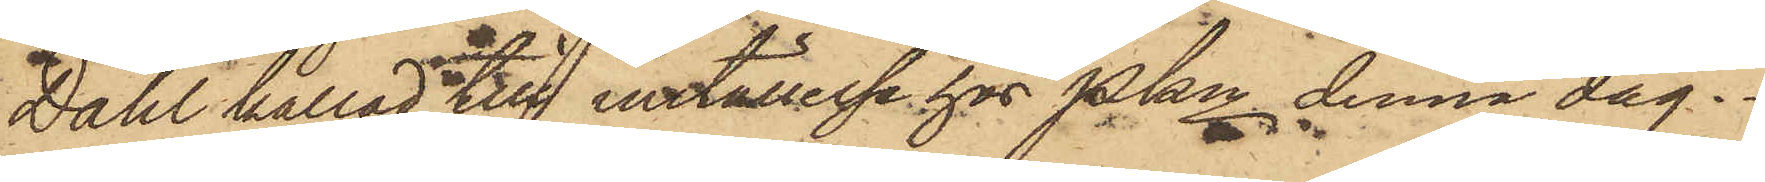Dahl kallad till inställelse hos Pkn denna dag.
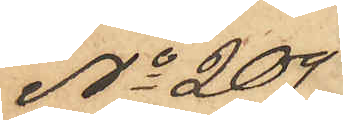No 209
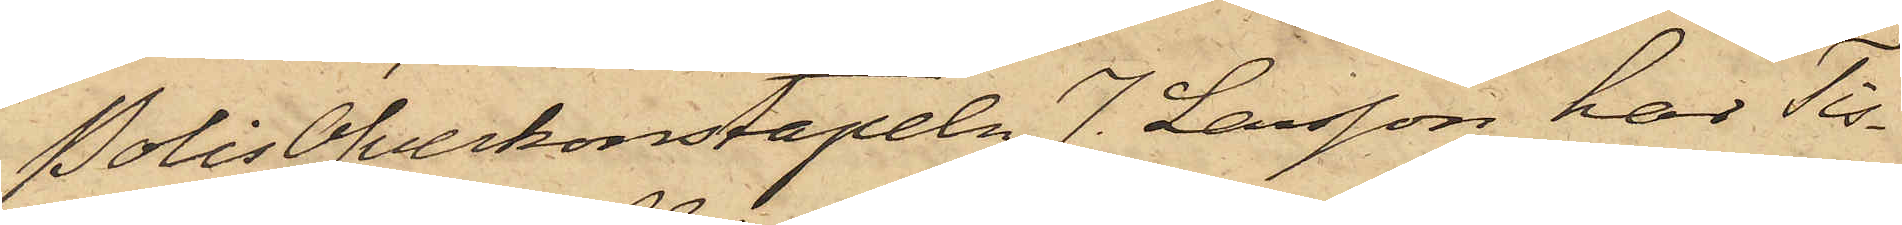PolisÖfverkonstapeln J. Larsson har Tis¬
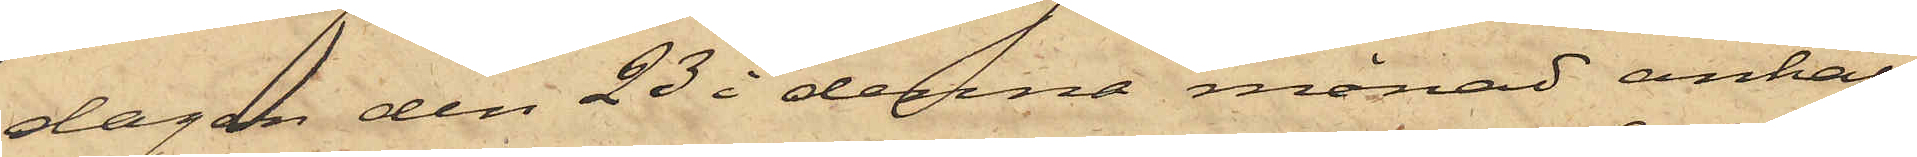dagen den 23 i denna månad anhål¬
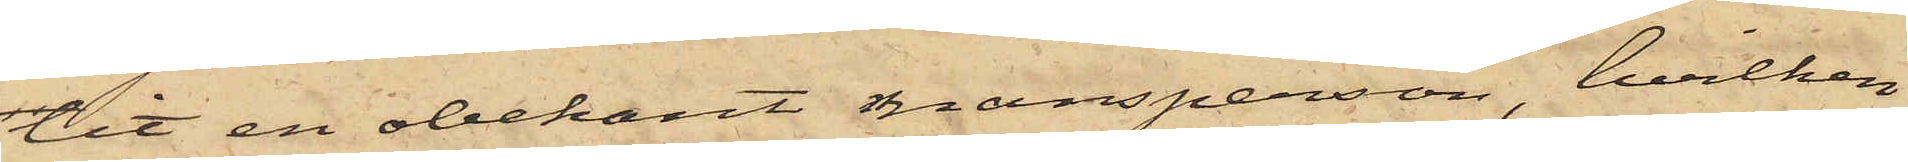lit en obekant mansperson, hvilken
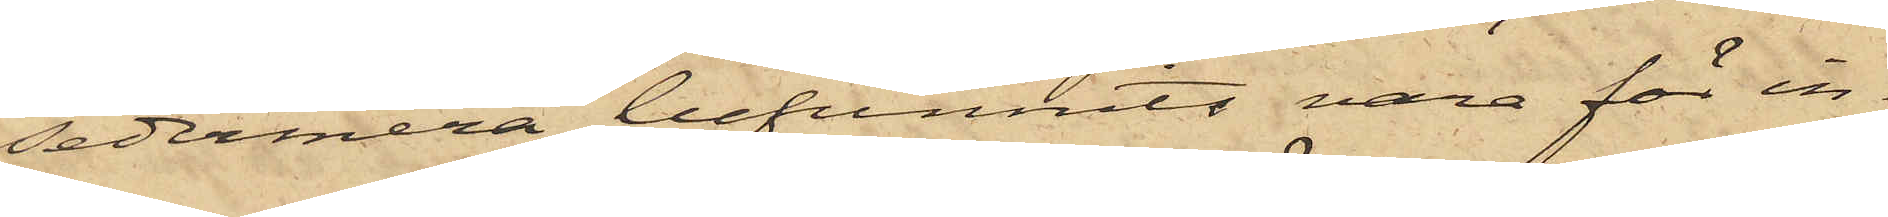sedermera befunnits vara för in¬
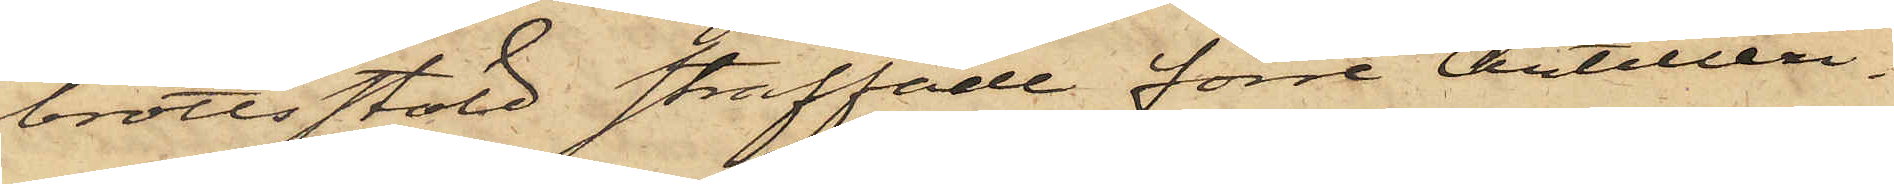brottsstöld straffade förre Artilleri¬
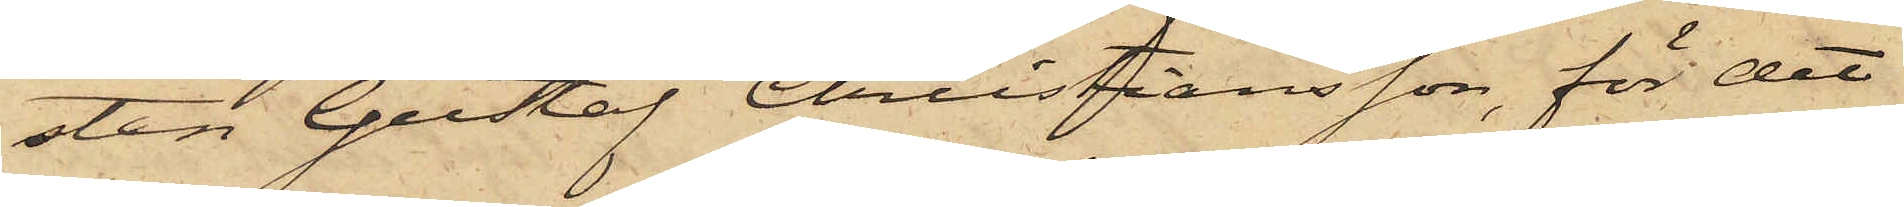sten Gustaf Christiansson, för det
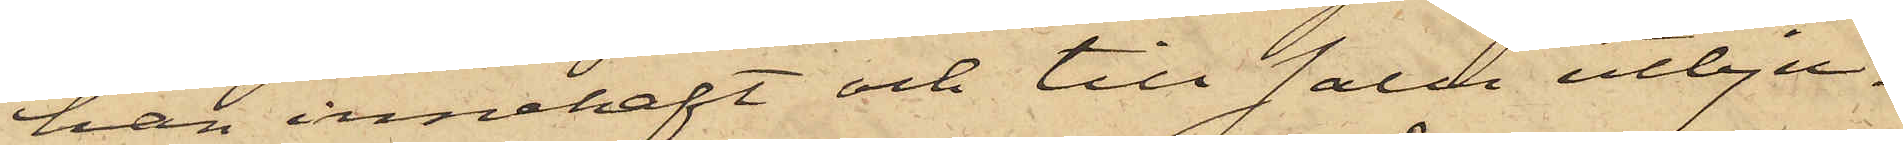han innehaft och till salu utbju¬
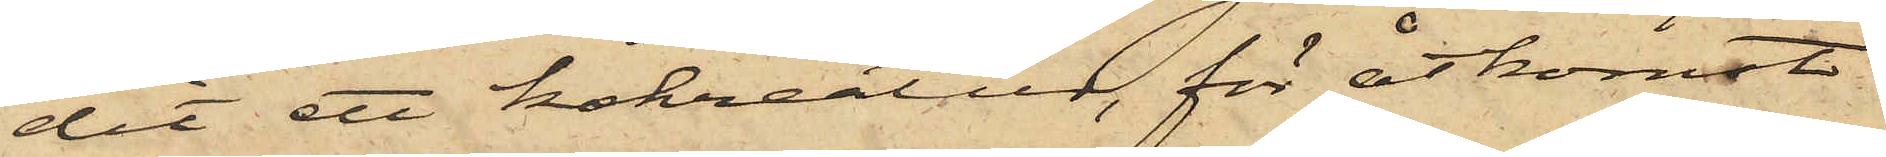dit ett kokreatur, för åtkomst
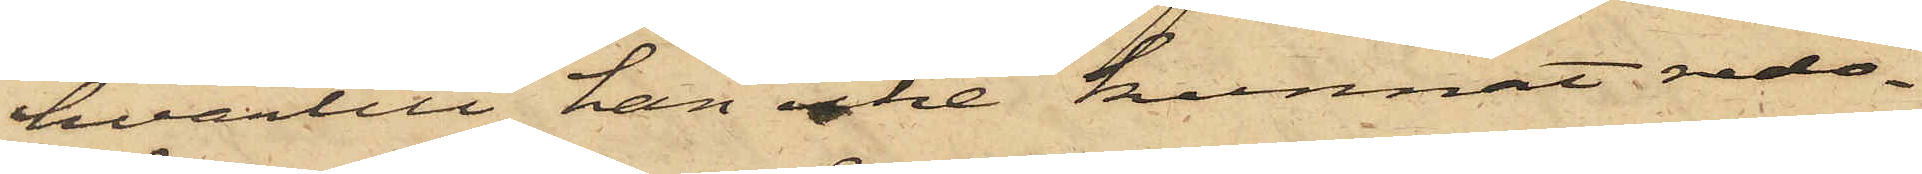hvartill han icke kunnat redo¬
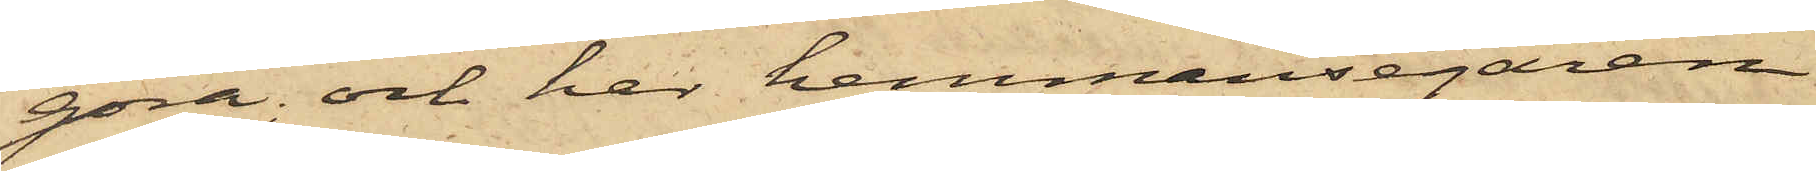göra; och har hemmansegaren
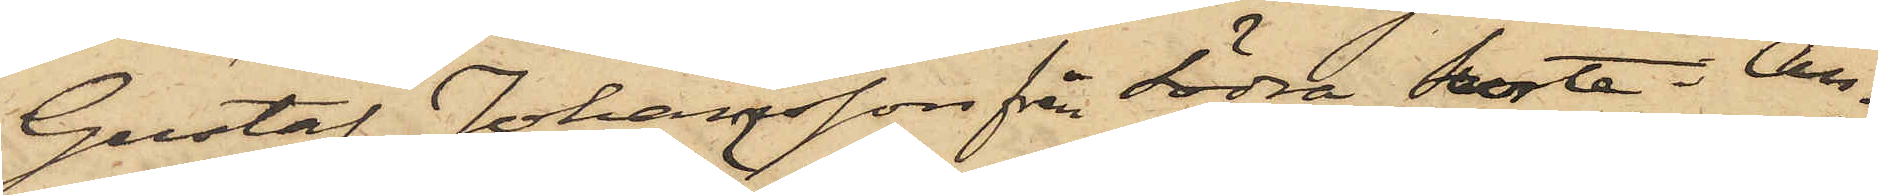Gustaf Johansson från Södra Surte i An¬
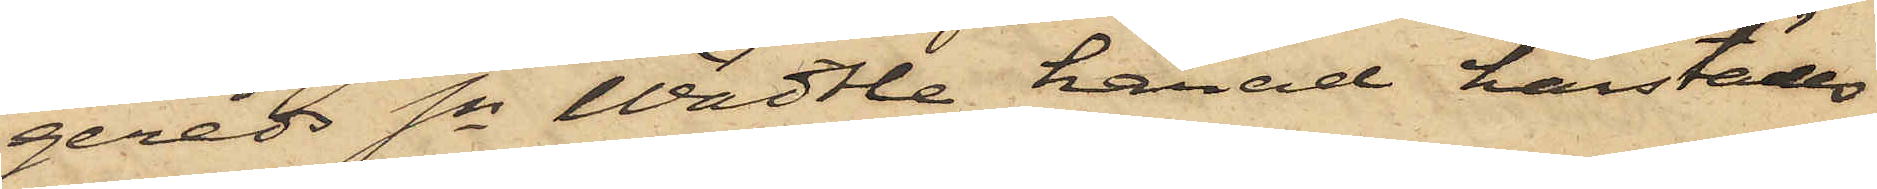gereds Sn Wädtle härad härstädes
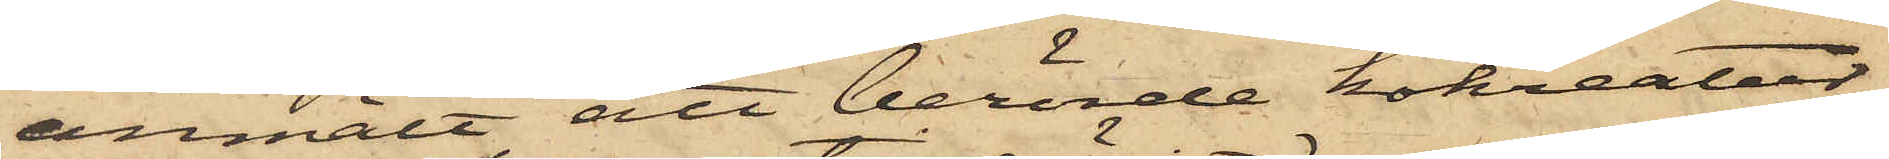anmält att berörde kokreatur,
